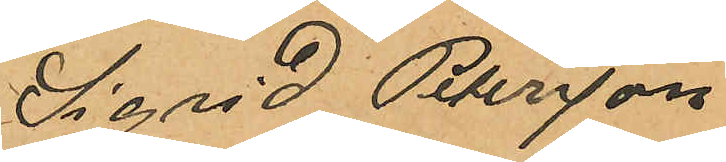Sigrid Petersson
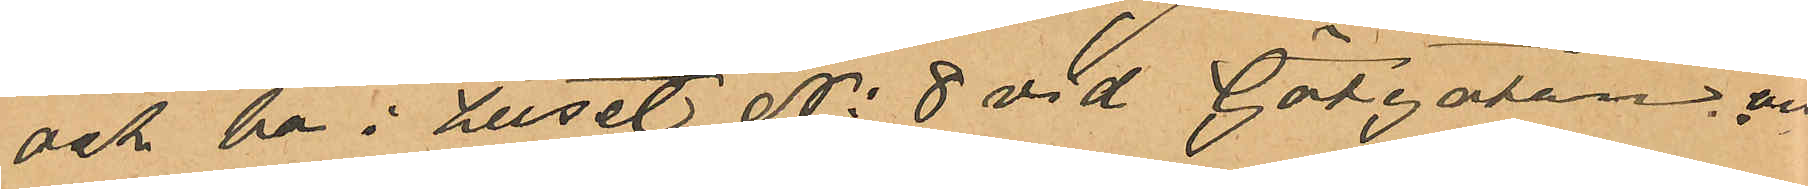och bo i huset No 8 vid Götgatan, och
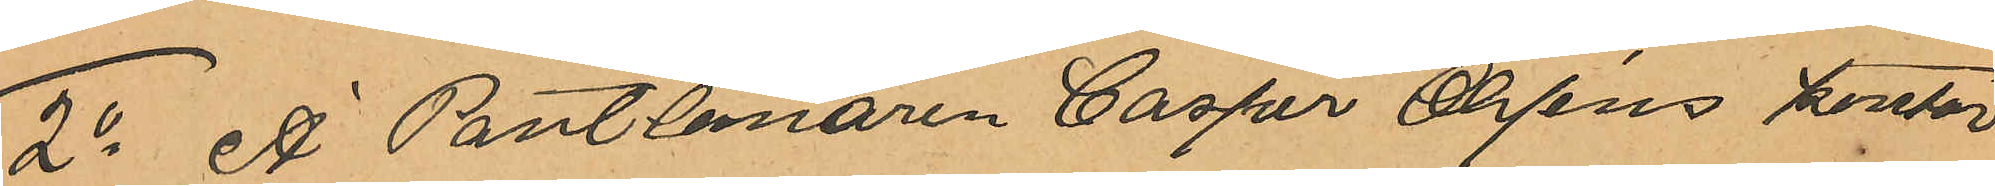2o Å Pantlånaren Casper Ohlséns kontor
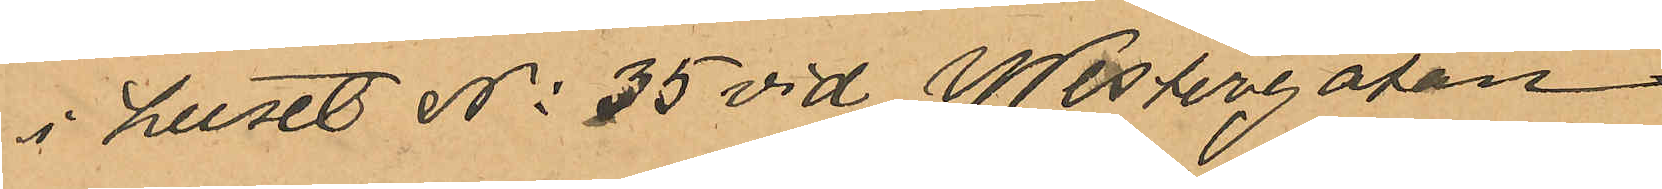i huset No 35 vid Westergatan:
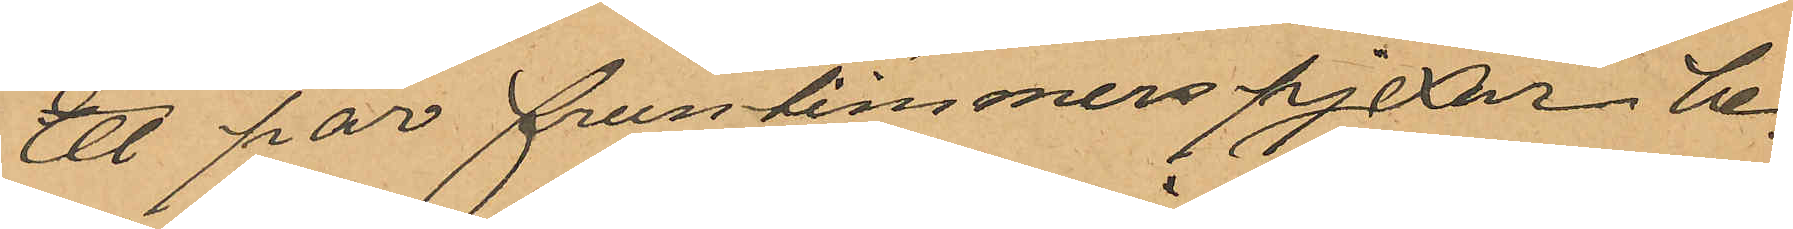Ett par fruntimmers pjexor be¬
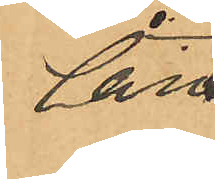lån¬
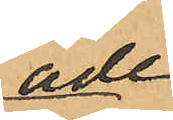ade
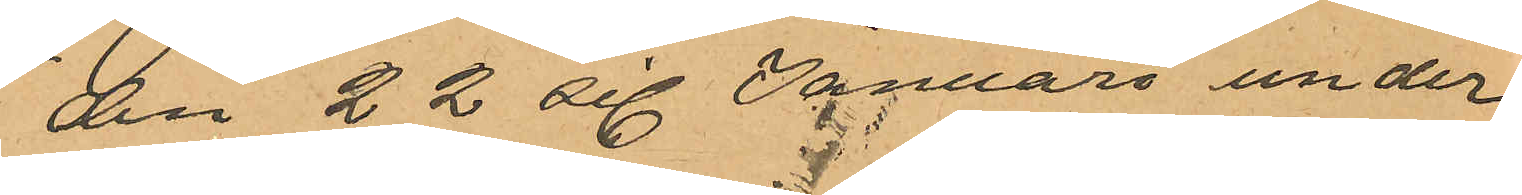den 22 sist Januari under
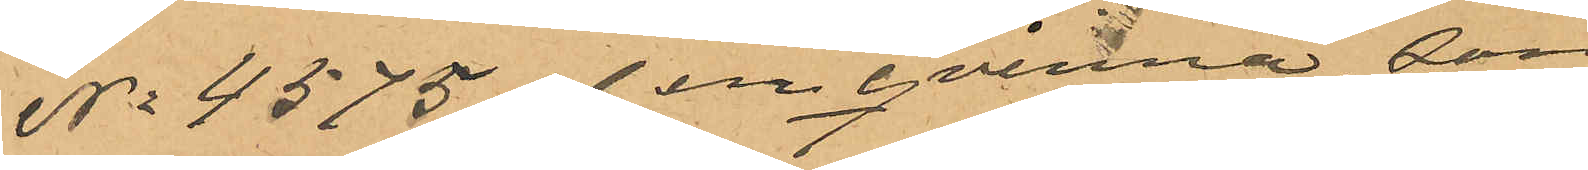No 4575 af en  qvinna som
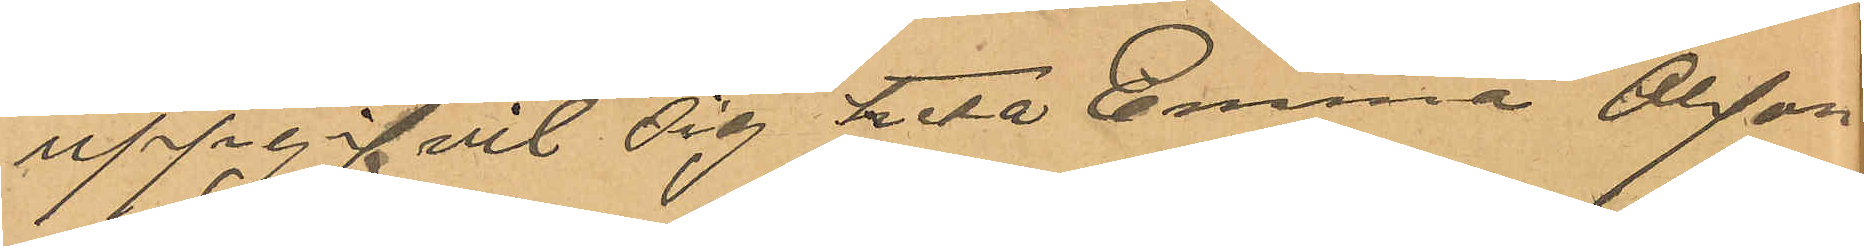uppgifvit sig heta Emma Olsson
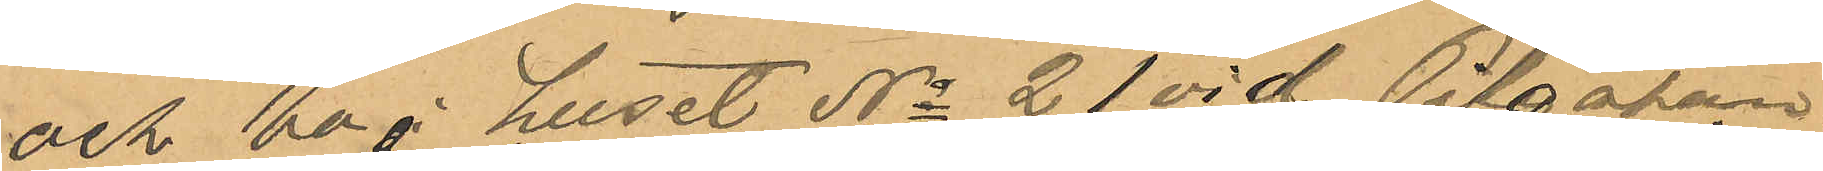och bo i huset No 21 vid Pilgatan
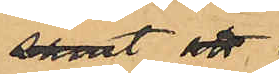samt att
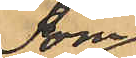som
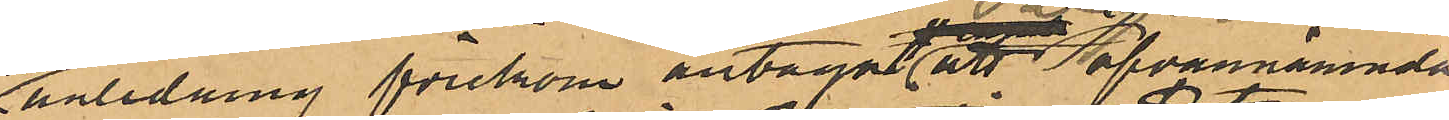anledning förekom antaga att ofvannämnda
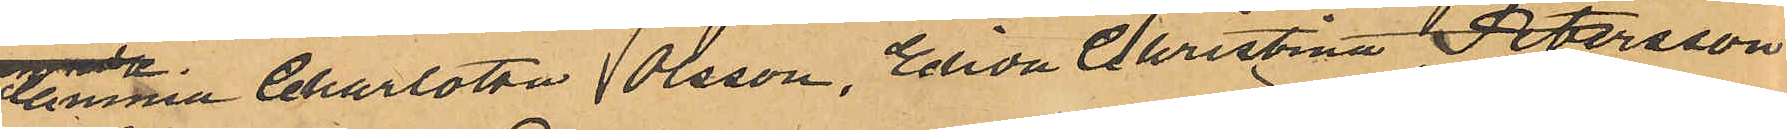Christina Charlotta Olsson, Elida Christina Petersson
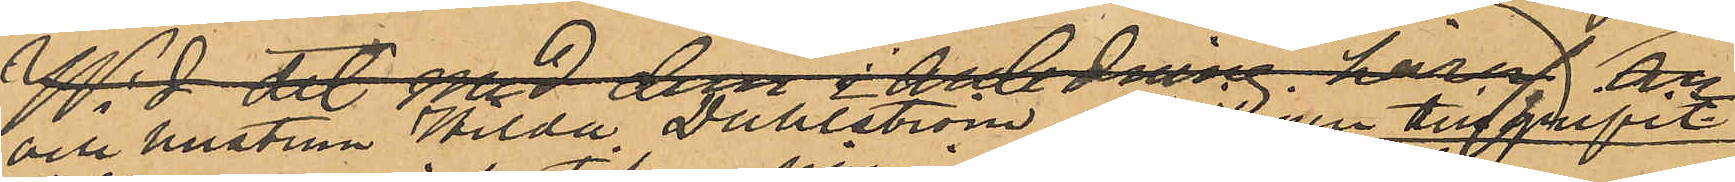och hustrun Hilda Dahlström,  möjligen tillgripit
